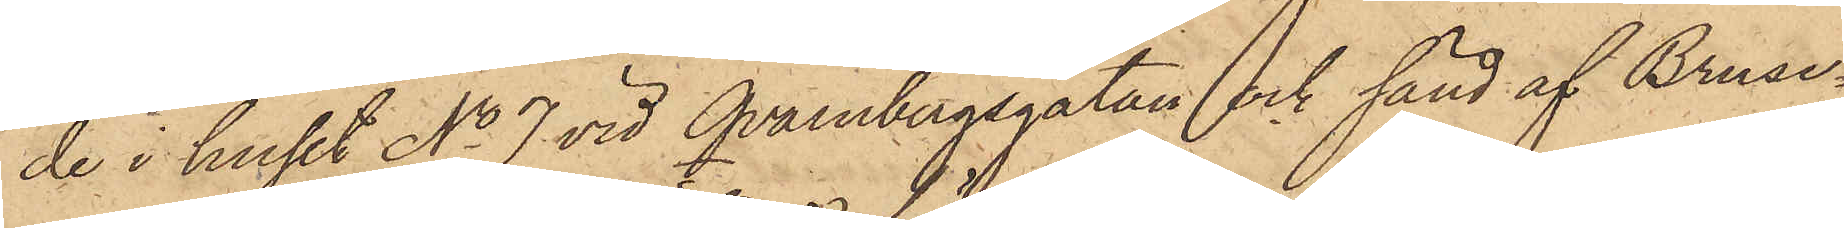de i huset No 7 vid Qvarnbergsgatan och sänd af Bruse¬
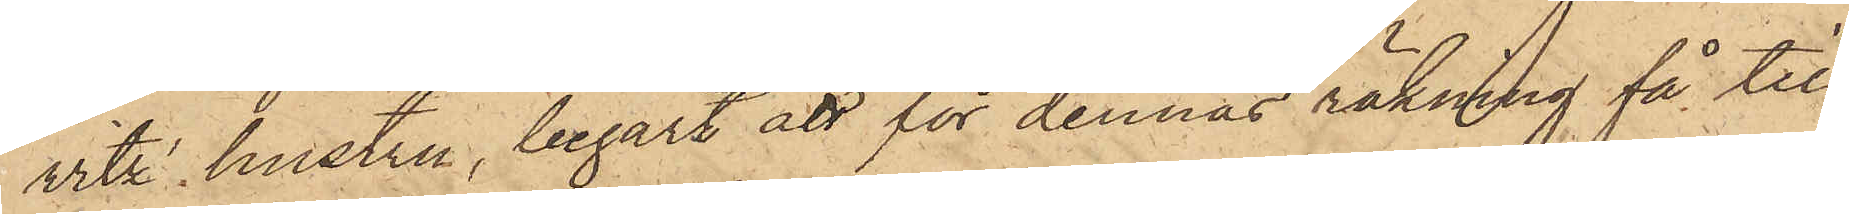witz' hustru, begärt att för dennas räkning få till
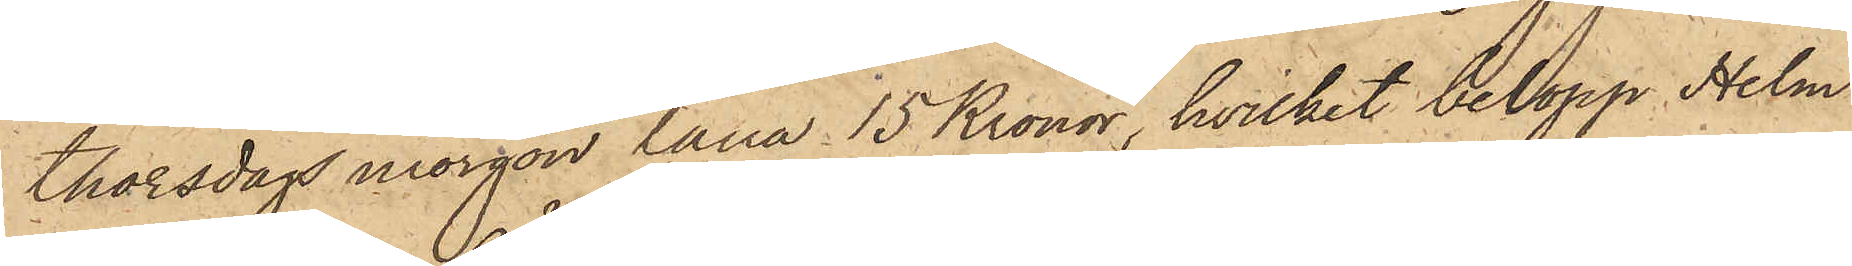Thorsdags morgon låna 15 Kronor, hvilket belopp Helm
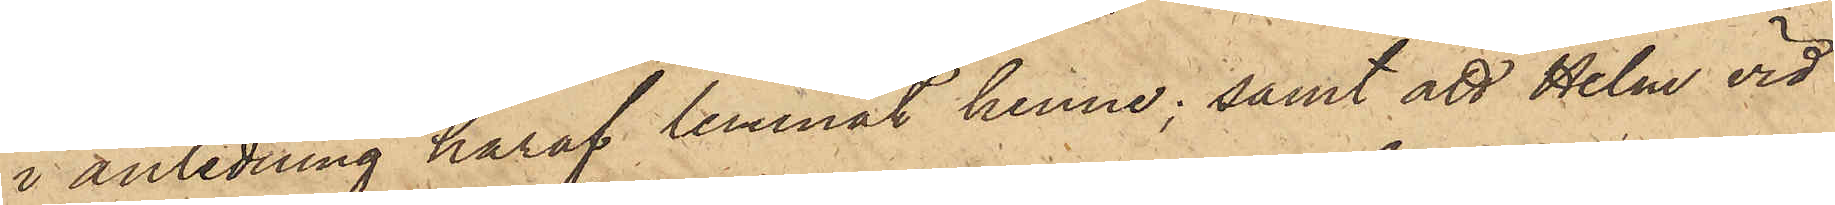i anledning häraf lemnat henne; samt att Helm vid
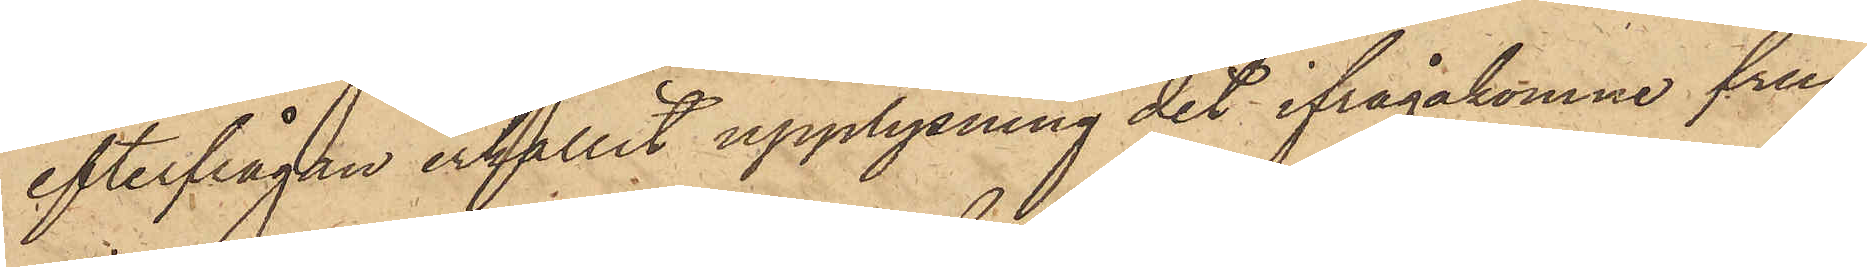efterfrågan erhållit upplysning det ifrågakomne frun¬
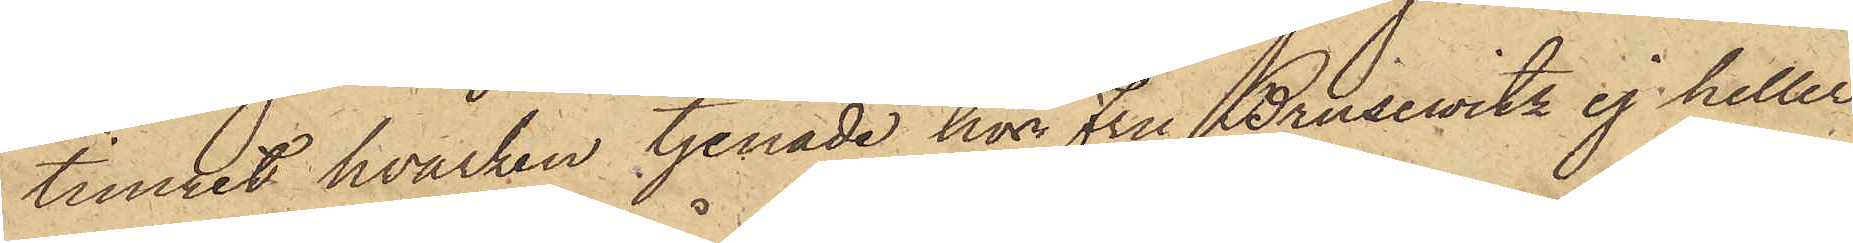timret hvarken tjenade hos Fru Brusewitz ej heller
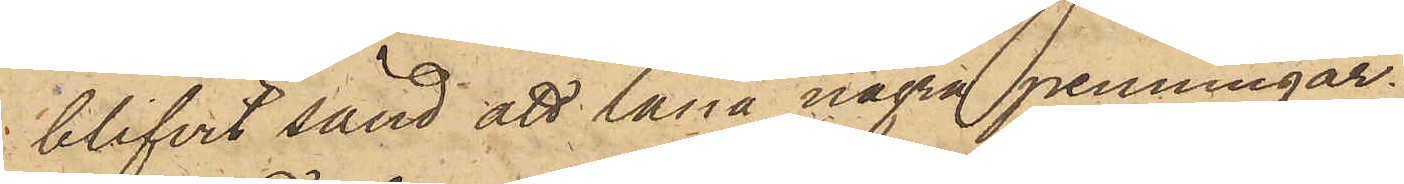blifvit sänd att låna några penningar.
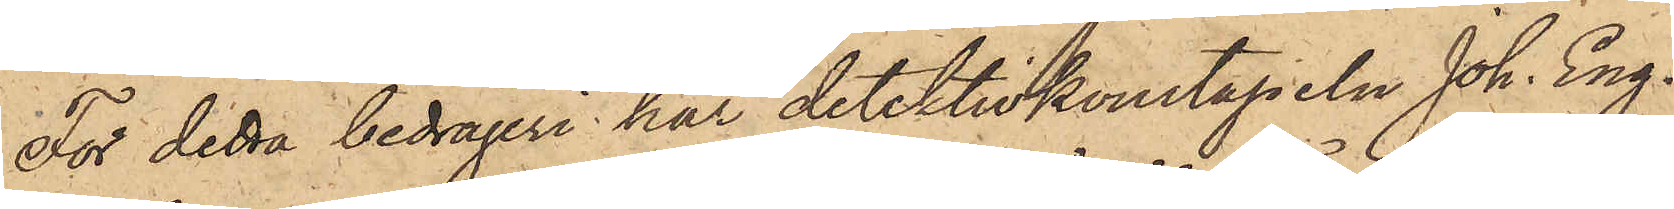För detta bedrägeri har detektivkonstapeln Joh. Eng¬
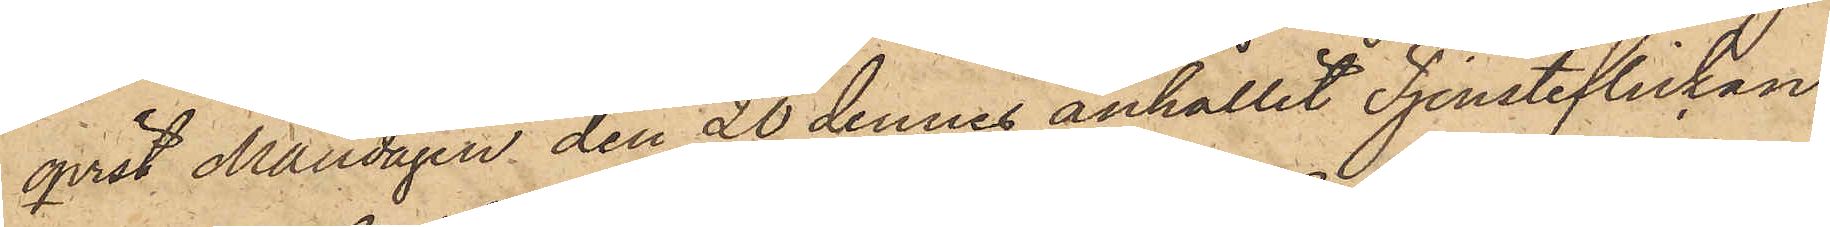qvist Måndagen den 20 dennes anhållit Tjensteflickan
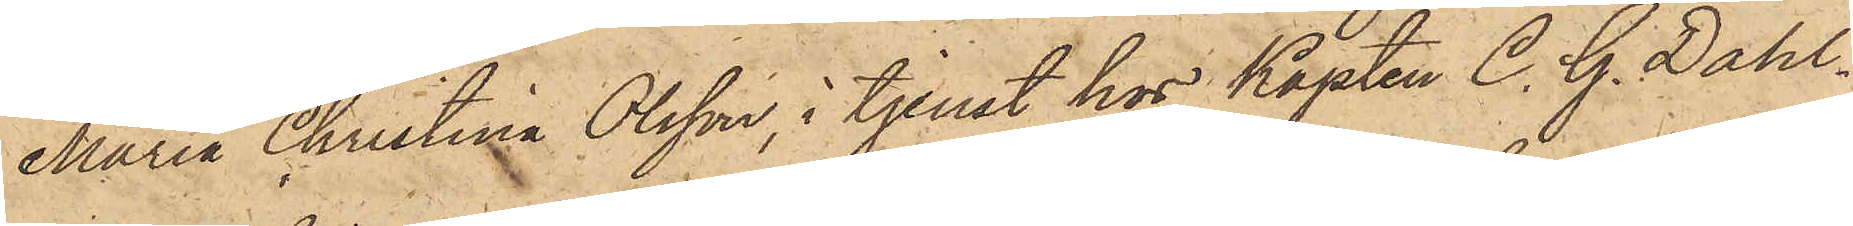Maria Christina Olsson, i tjenst hos Kapten C. G. Dahl¬
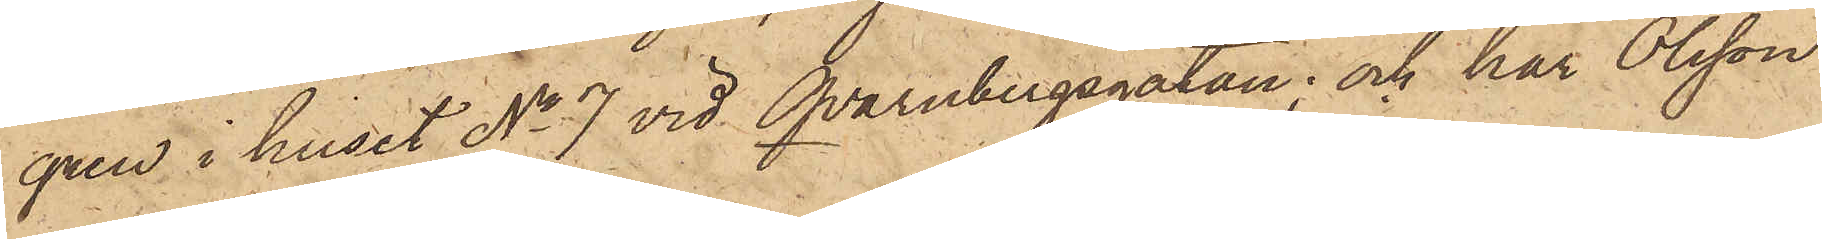gren i huset No 7 vid Qvarnbergsgatan; och har Olsson
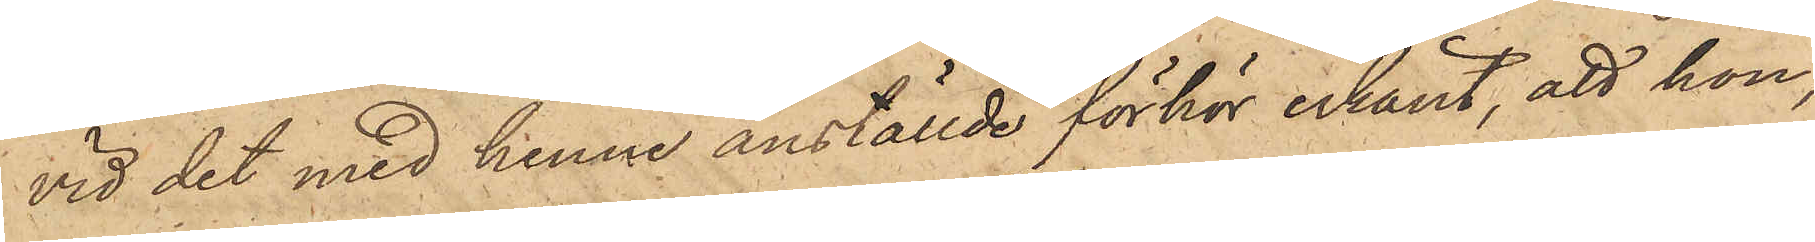vid det med henne anställde förhör erkänt, att hon,
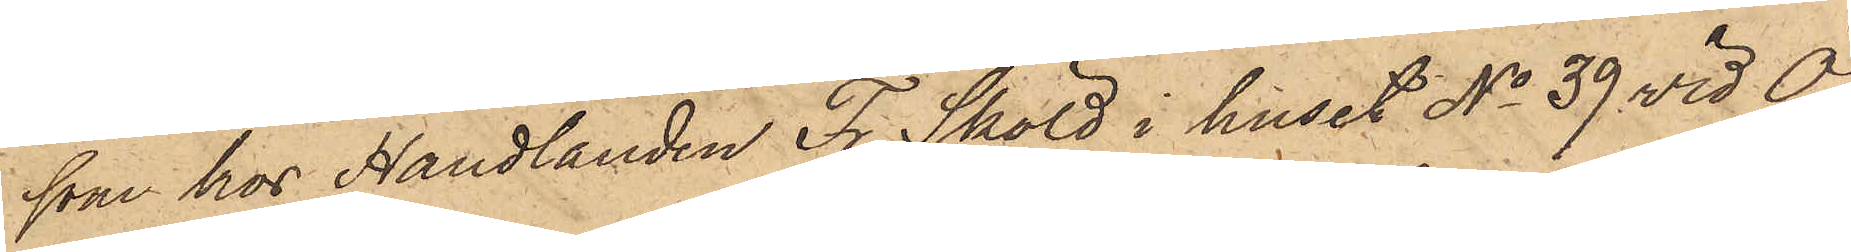som hos Handlanden Fr. Sköld i huset No 39 vid Ö
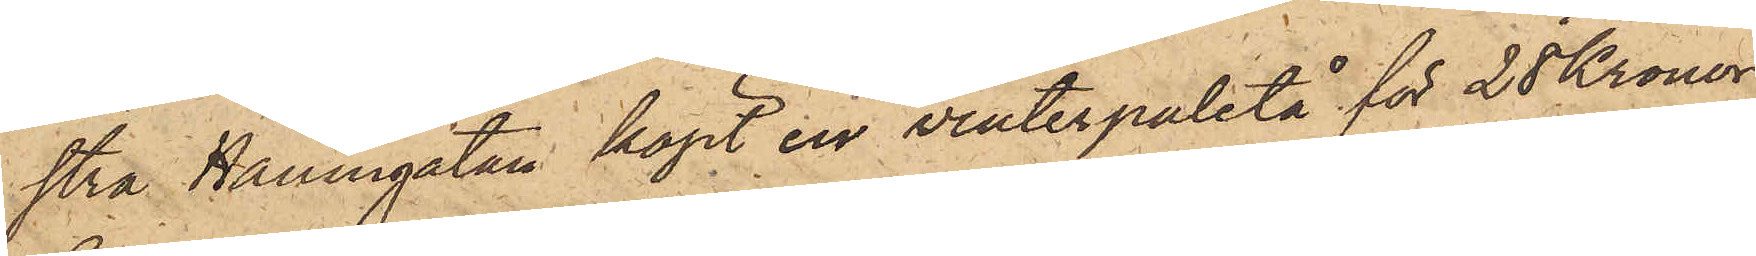stra Hamngatan köpt en vinterpaletå för 28 Kronor,
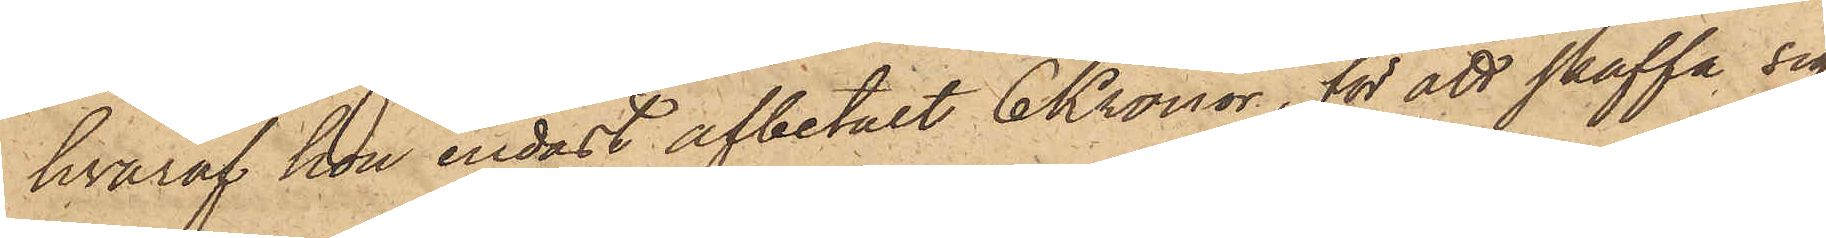hvaraf hon endast afbetalt 6 Kronor, för att skaffa sig
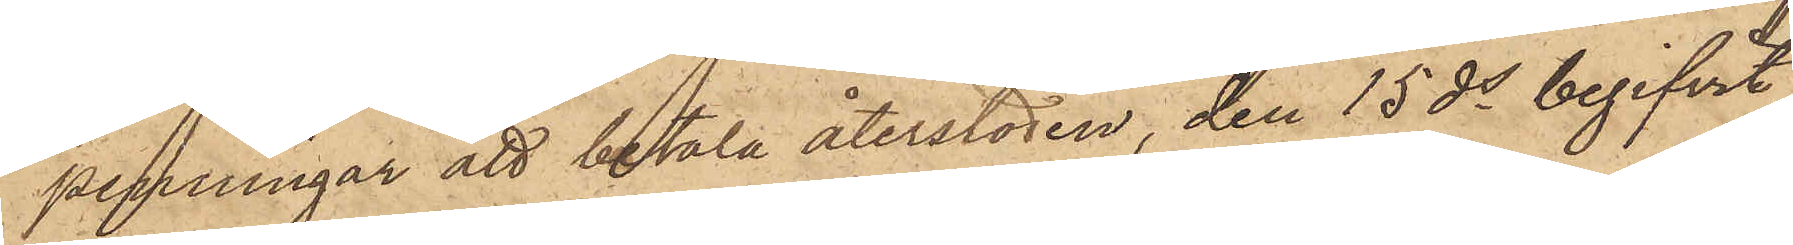penningar att betala återstoden, den 15 ds begifvit
